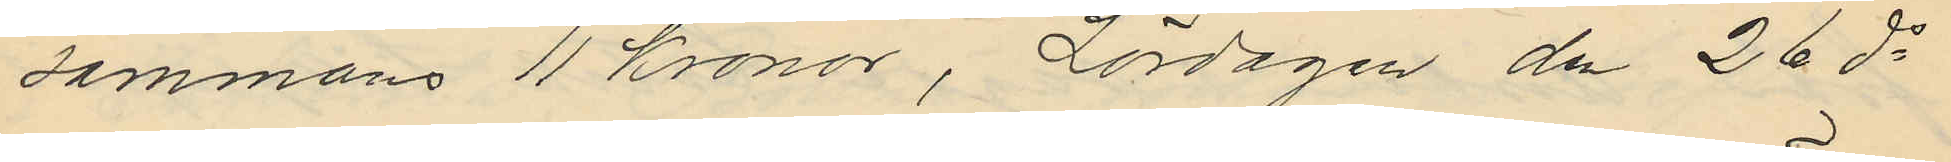sammans 11 Kronor, Lördagen den 26 ds
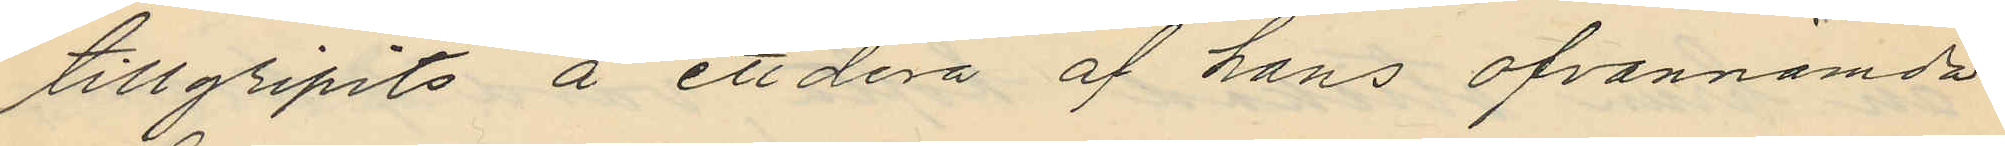tillgripits å ett dera af hans ofvannämda
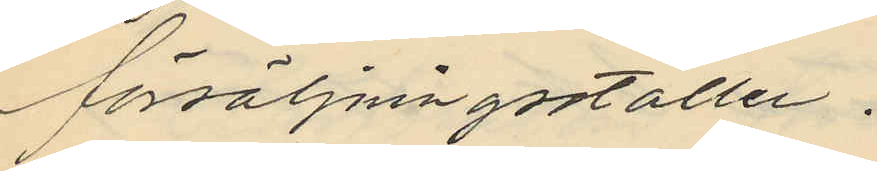försäljningsställen.
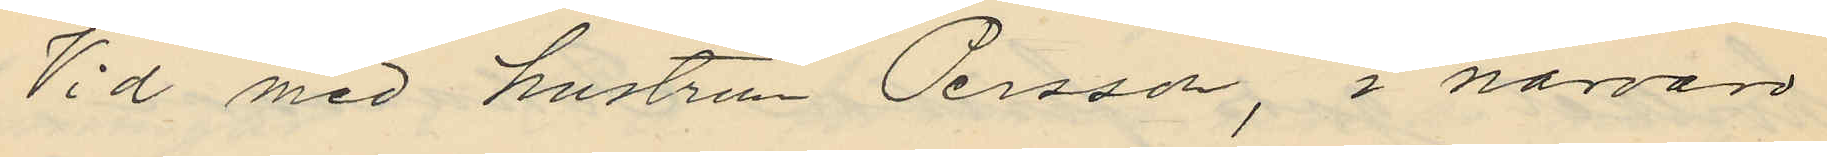Vid med hustrun Persson, i närvaro
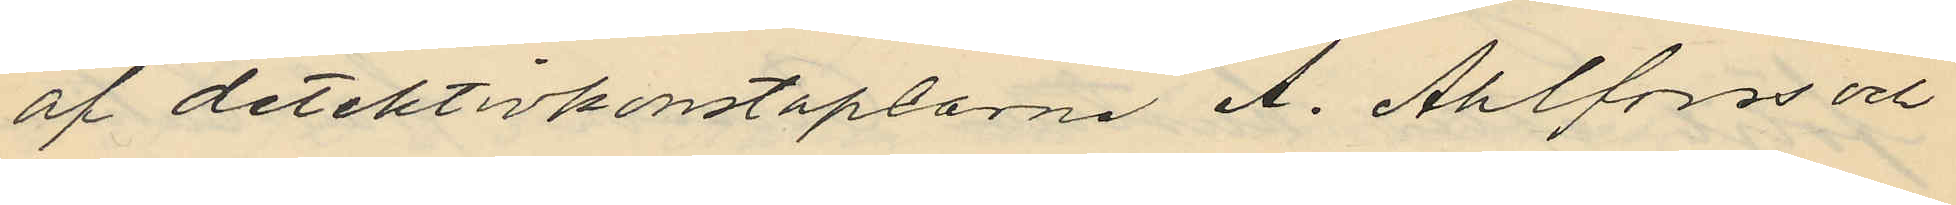af detektivkonstaplarne A. Ahlforss och
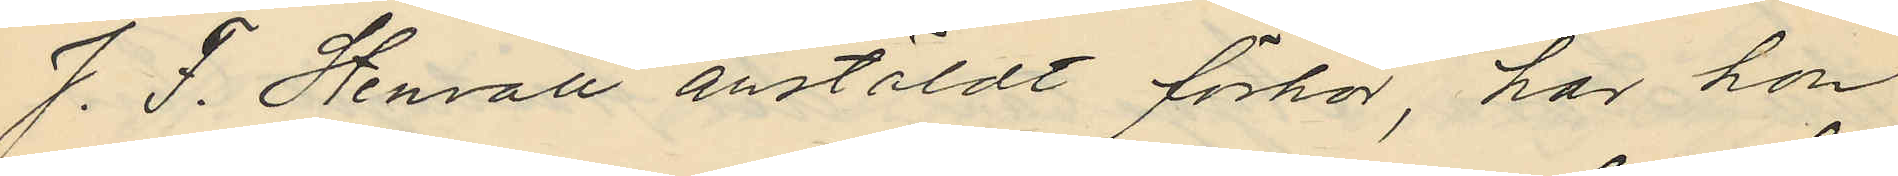J. F. Stenvall anstäldt förhör, har hon
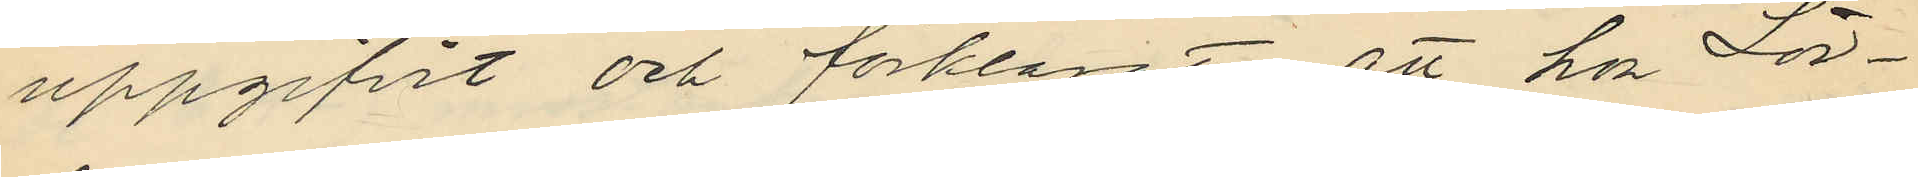uppgifvit och förklarat att hon Lör¬
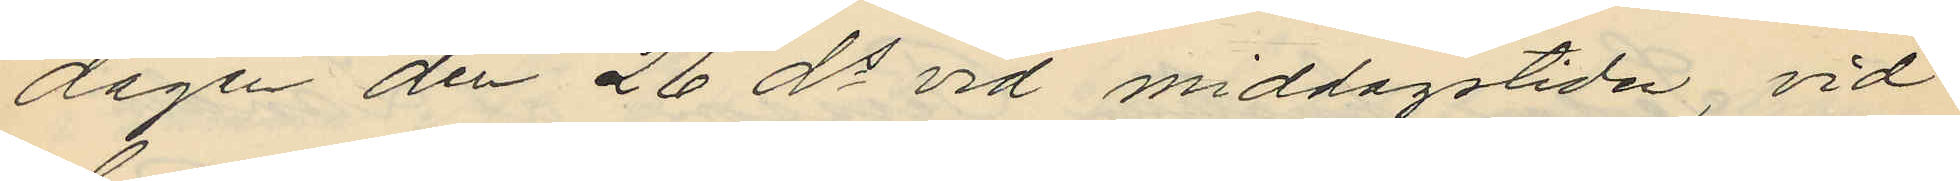dagen den 26 ds vid middagstiden, vid
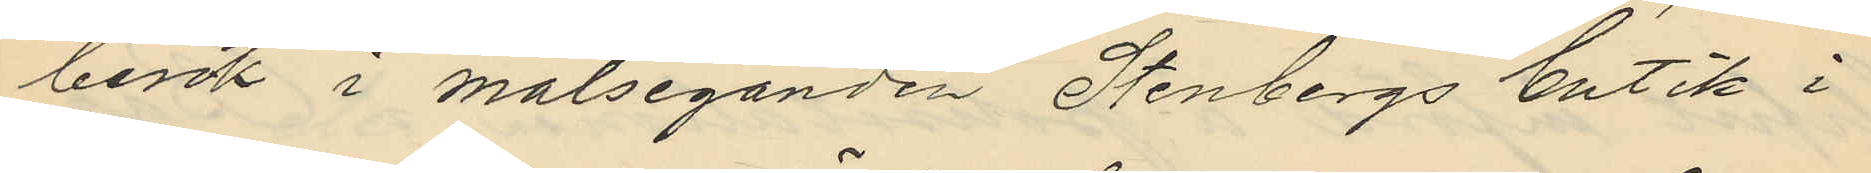besök i målseganden Stenbergs butik i
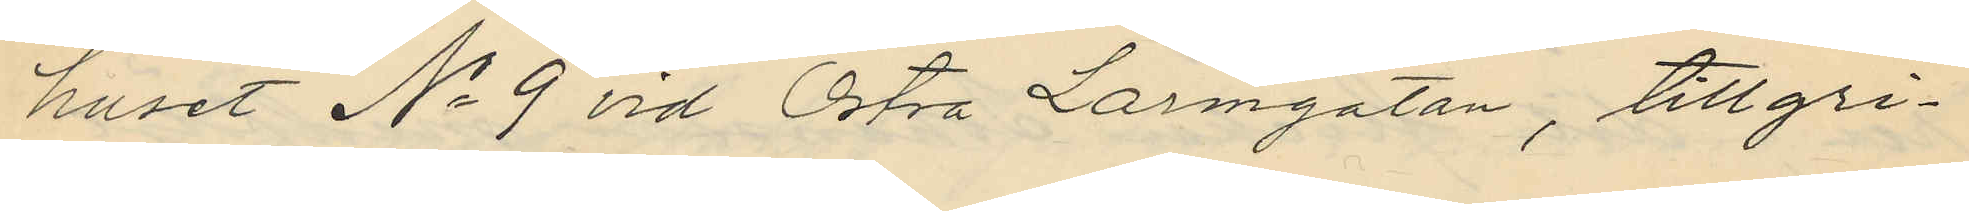huset No 9 vid Östra Larmgatan, tillgri¬
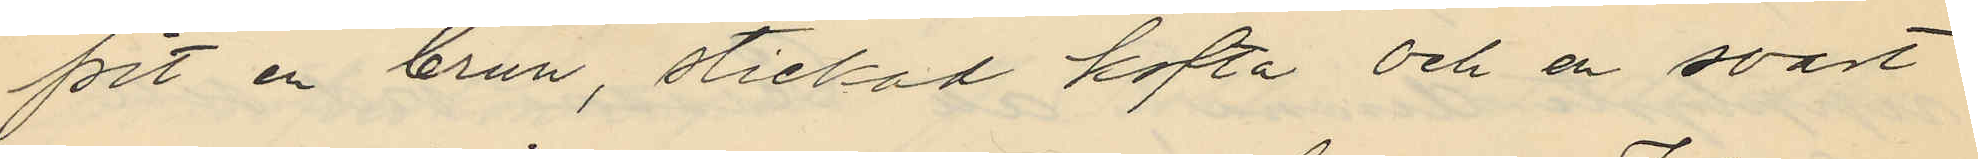pit en brun, stickad kofta och en svart
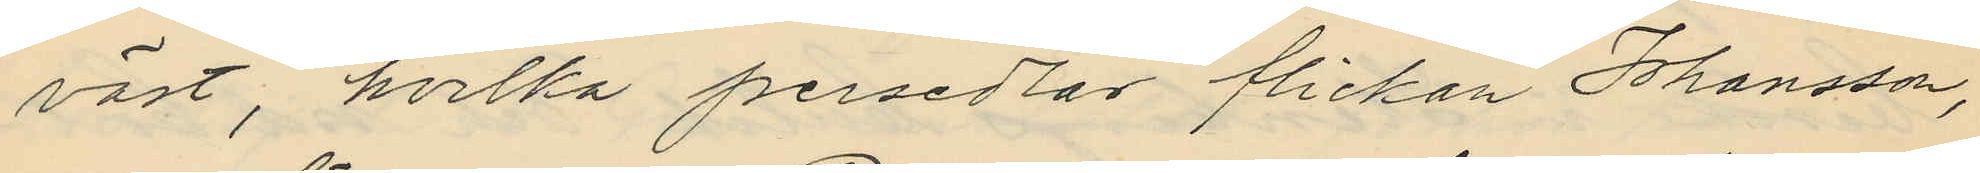väst, hvilka persedlar flickan Johansson,
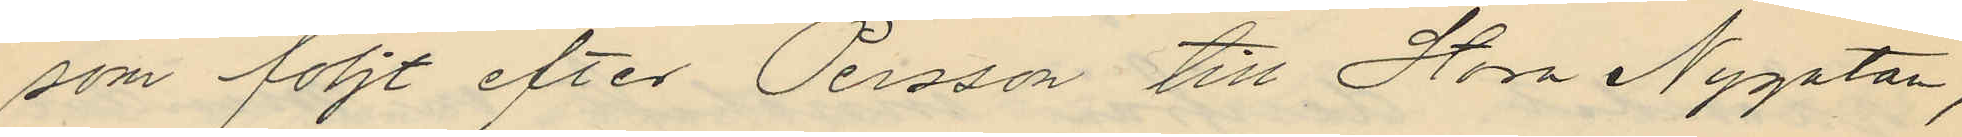som följt efter Persson till Stora Nygatan,
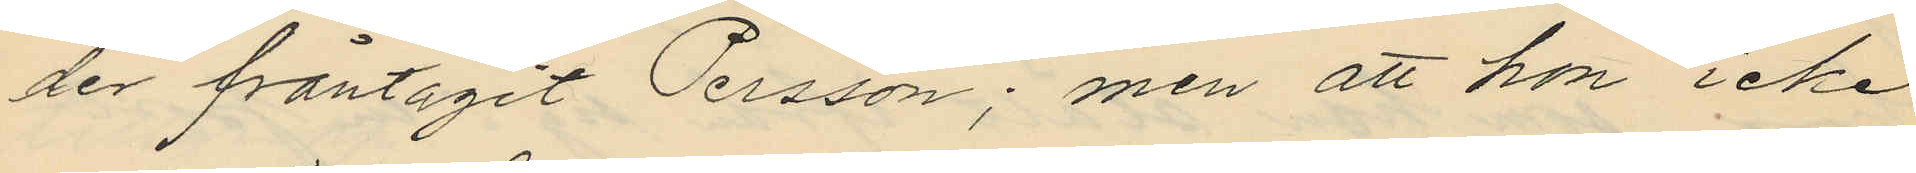der fråntagit Persson; men att hon icke
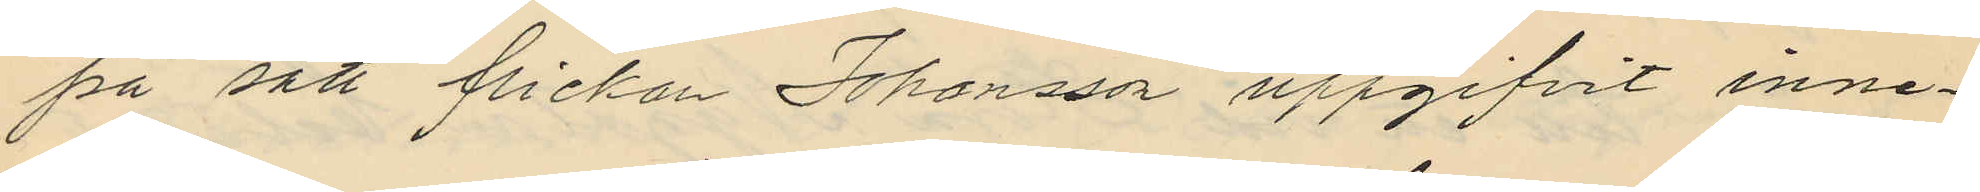på sätt flickan Johansson uppgifvit inne¬
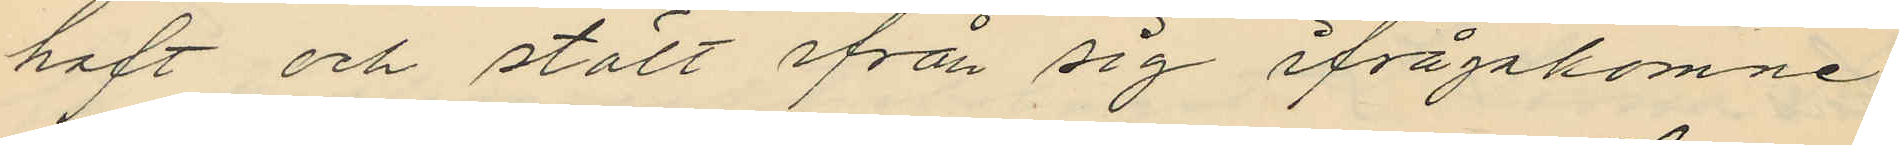haft och stält ifrån sig ifrågakomne
